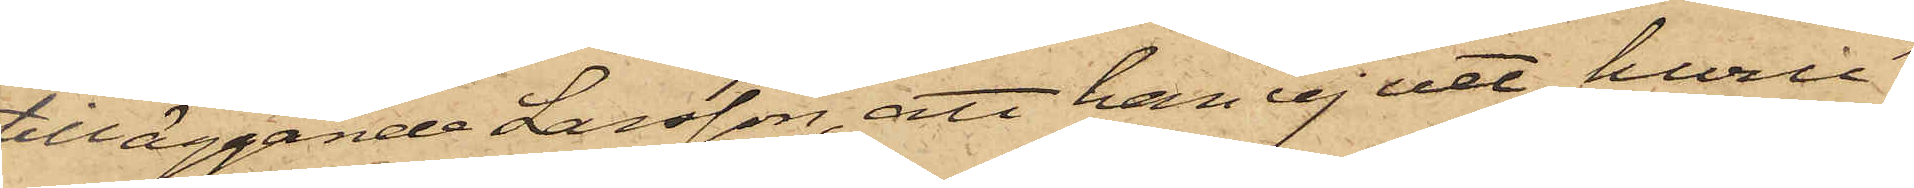tilläggande Larsson, att han ej vet, huru¬
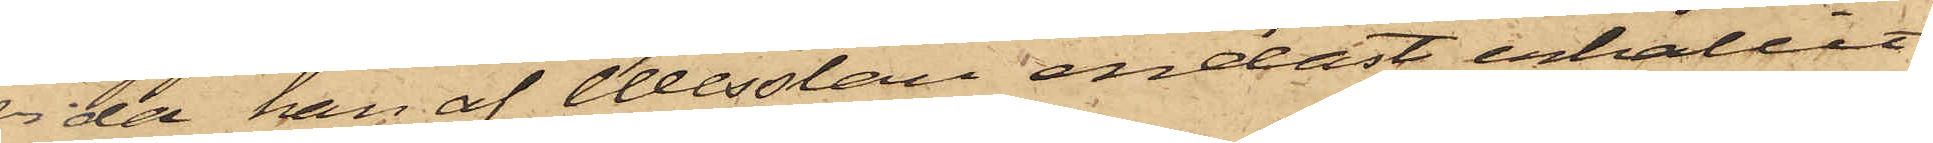vida han af Wesslau endast erhållit
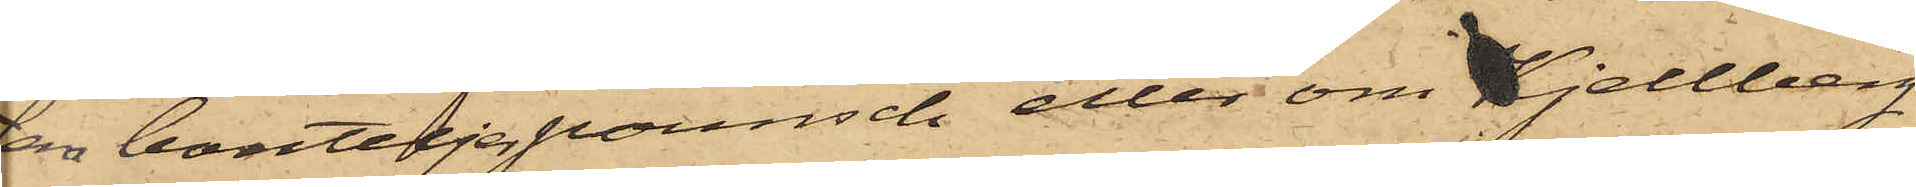fem bouteljer pounsch eller om Kjellberg
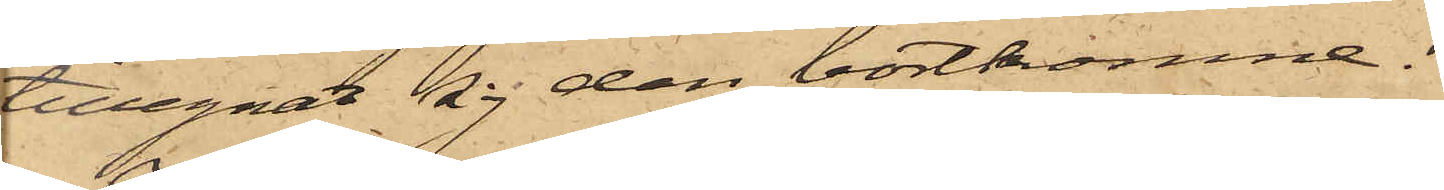tillegnat sig den bortkomne.
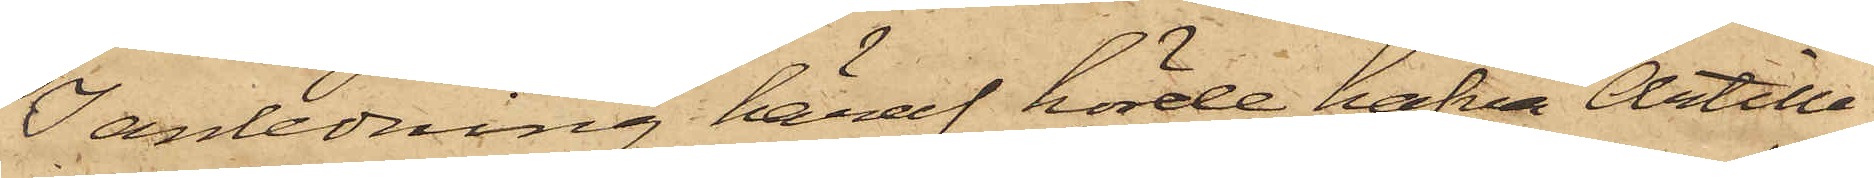I anledning häraf hörde hafva Artille¬
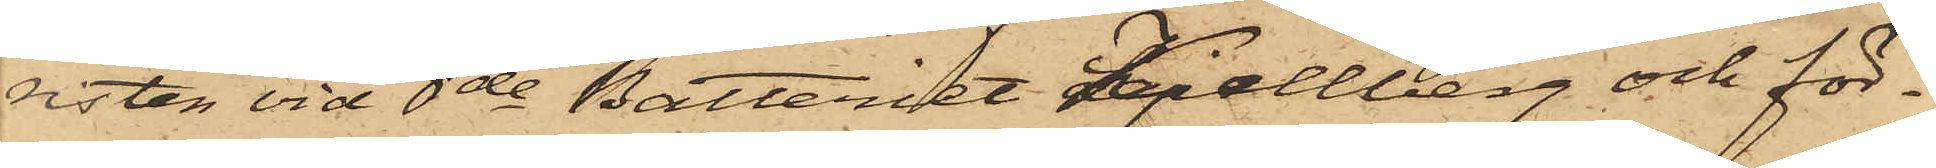risten vid 8de Batteriet Kjellberg och för¬
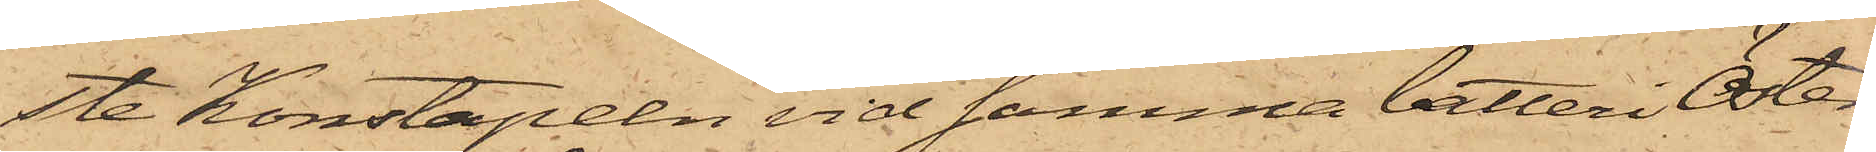ste konstapeln vid samma batteri Öster¬
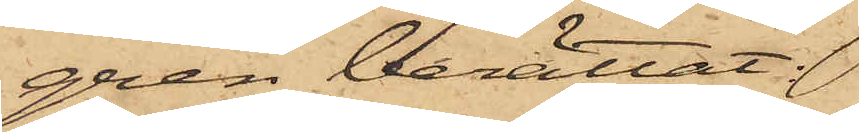gren berättat;
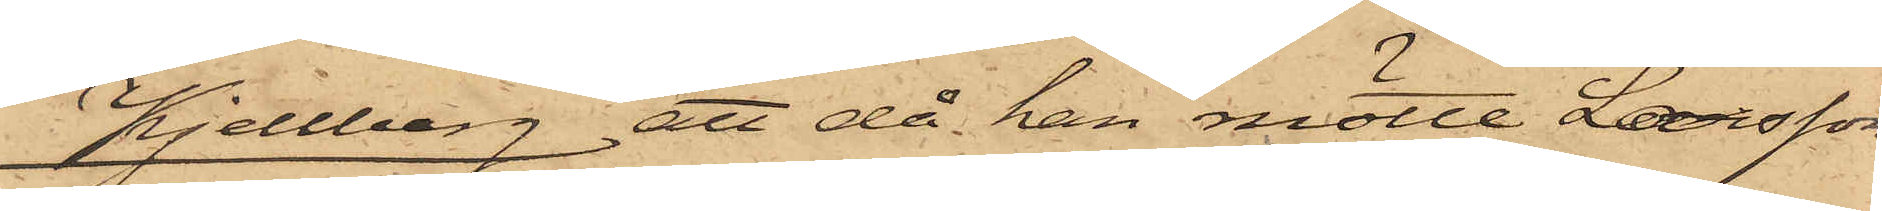Kjellberg, att då han mötte Larsson
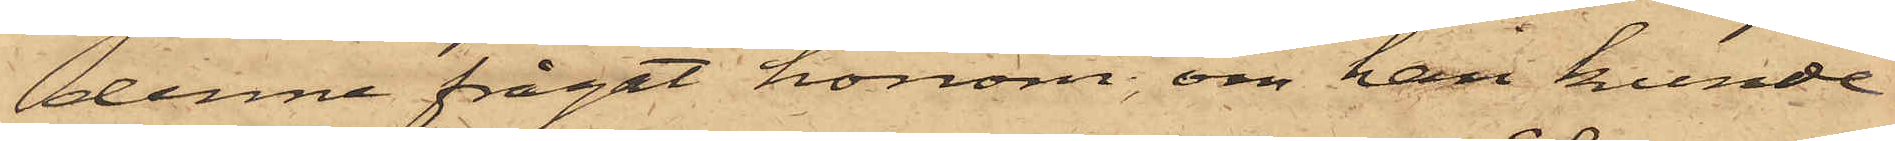denne frågat honom, om han kunde
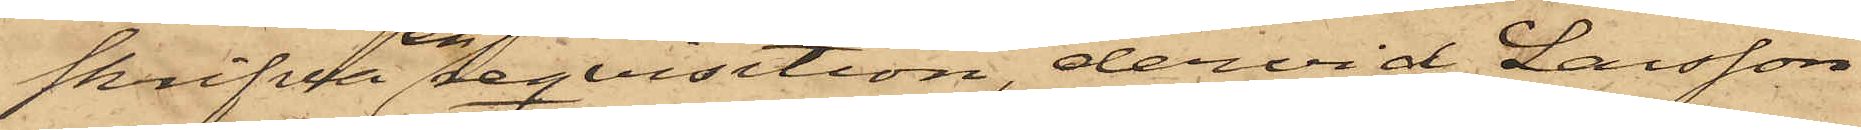skrifva en reqvisition, dervid Larsson
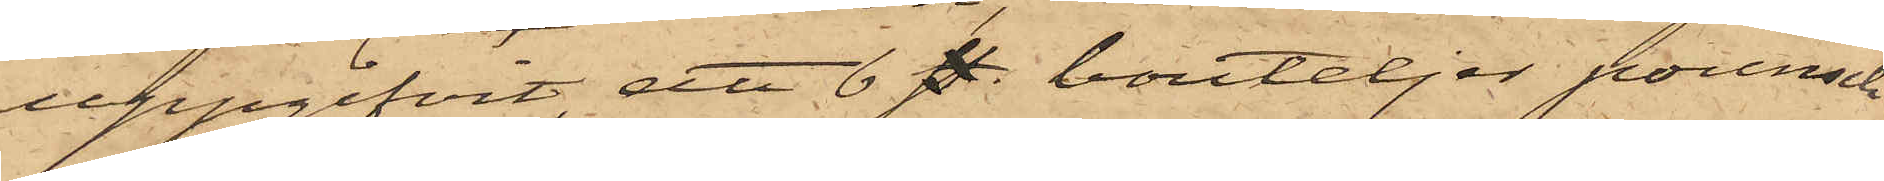uppgifvit, att 6 st. bouteljer pounsch
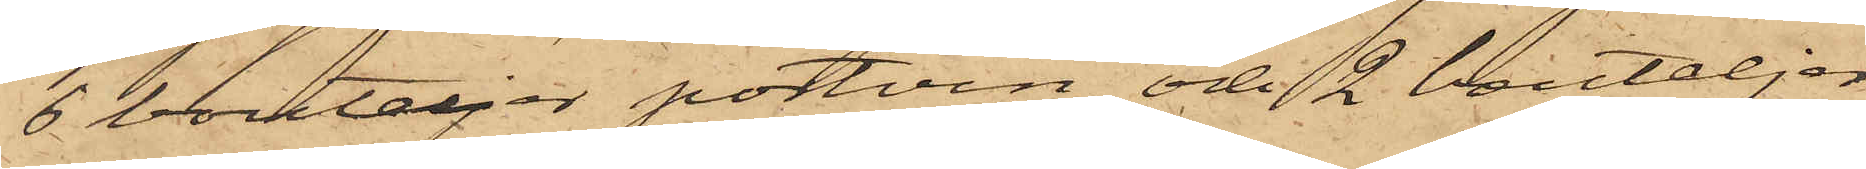6 bouteljer portvin och 2 bouteljer
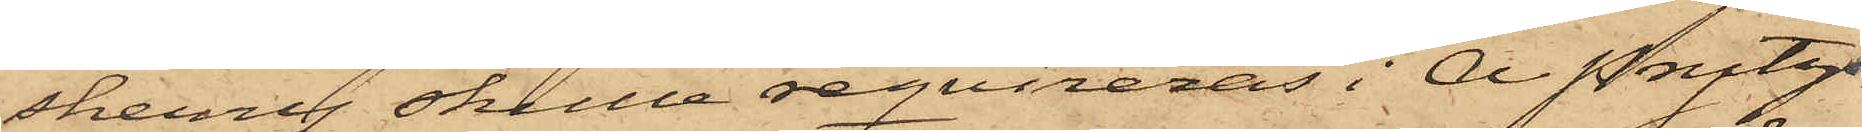sherry skulle reqvireras i A Prytz
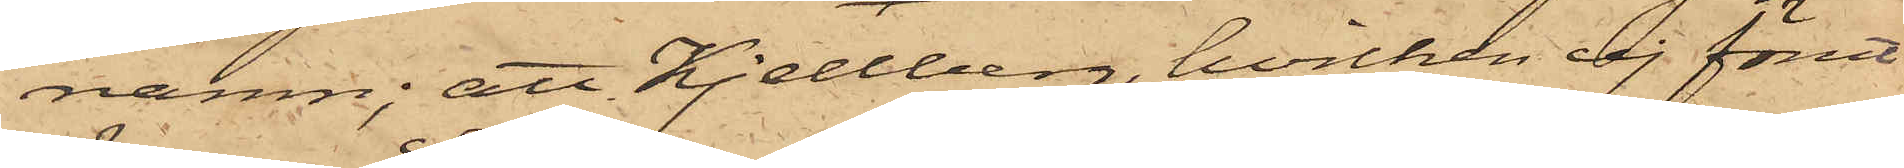namn; att Kjellberg, hvilken ej förut
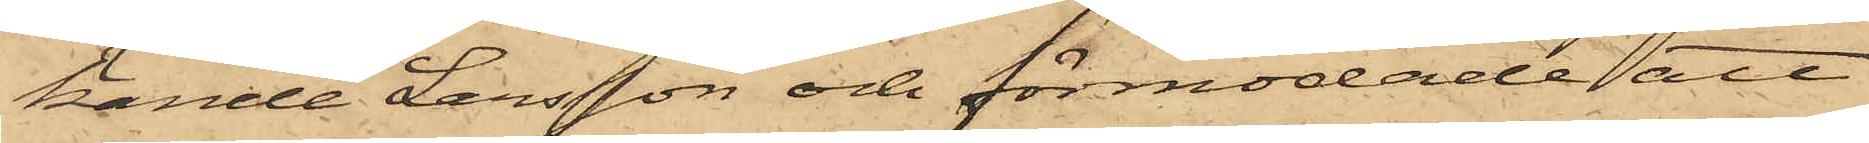kände Larsson och förmodade att
